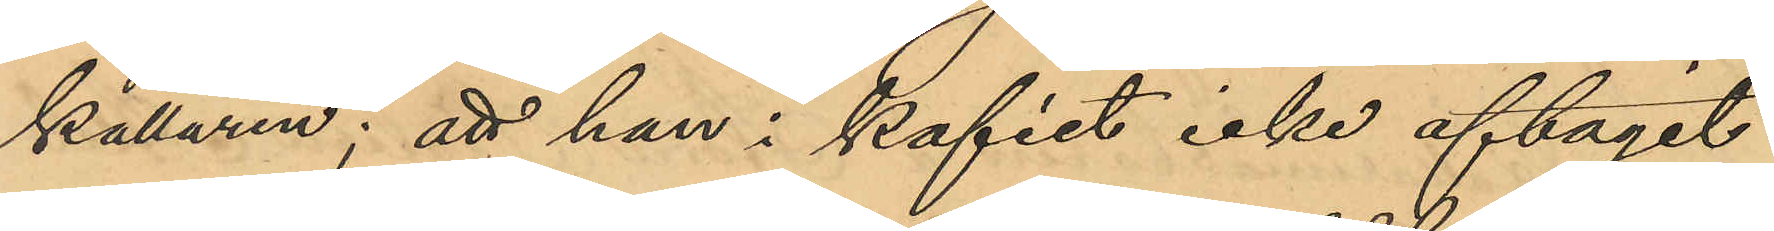källaren; att han i kaféet icke aftagit
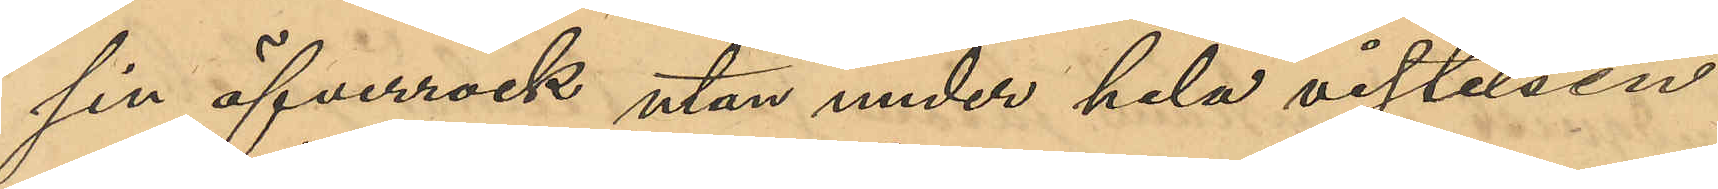sin öfverrock utan under hela vistelsen
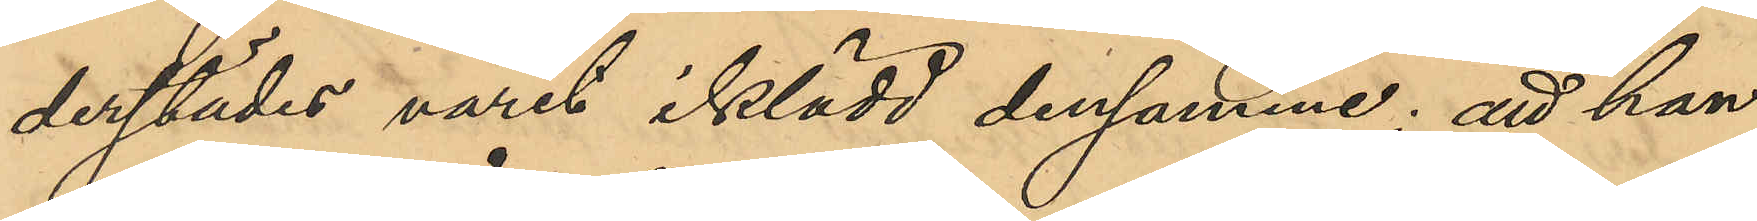derstädes varit iklädd densamma; att han
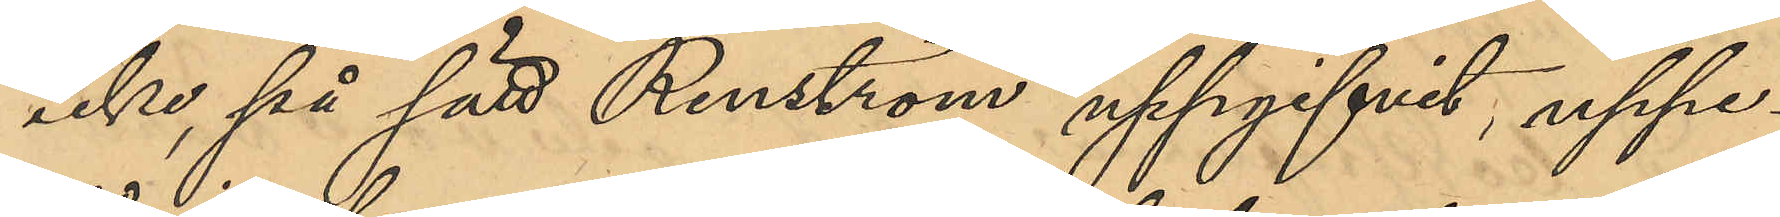icke på sätt Renström uppgifvit, uppe¬
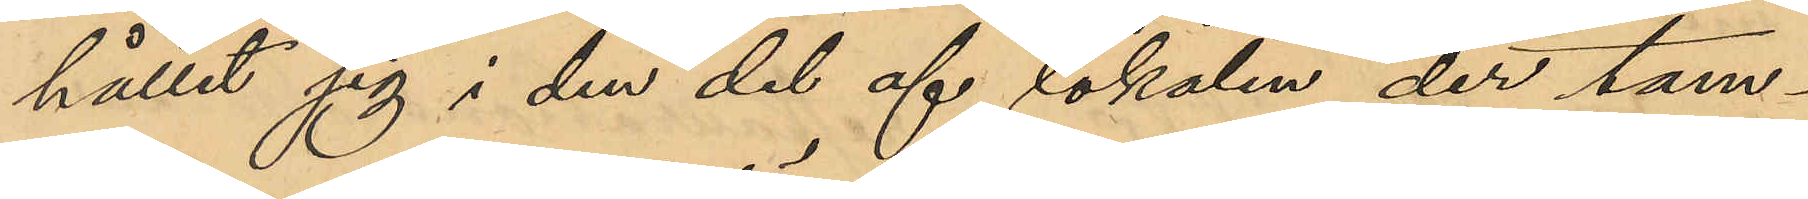hållit sig i den del af lokalen, der tam¬
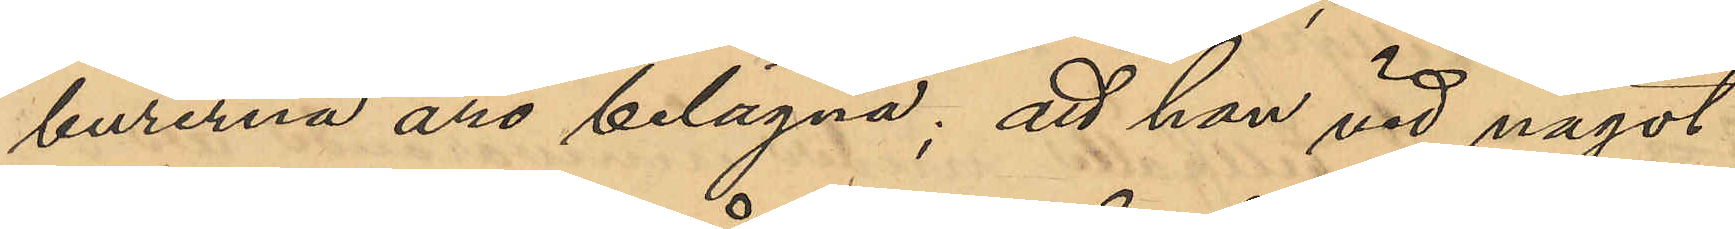burerna äro belägna; att han vid något
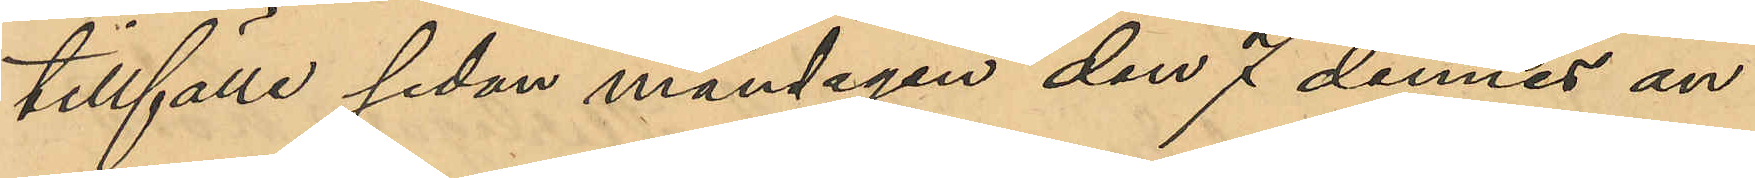tillfälle sedan måndagen den 7 dennes an¬
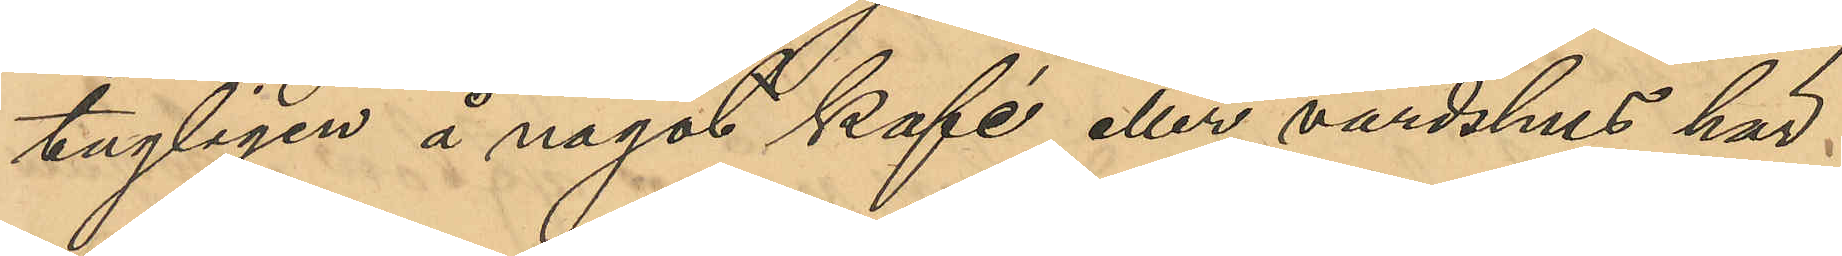tagligen å något kafé eller värdshus här
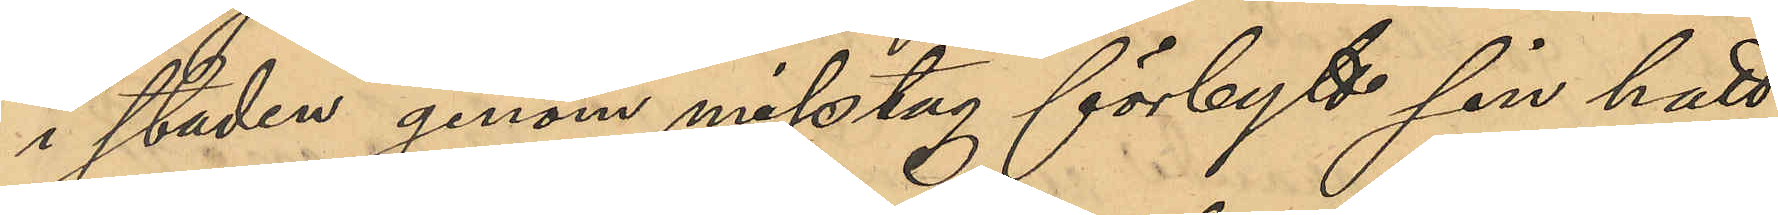i staden genom misstag förbytt sin hatt
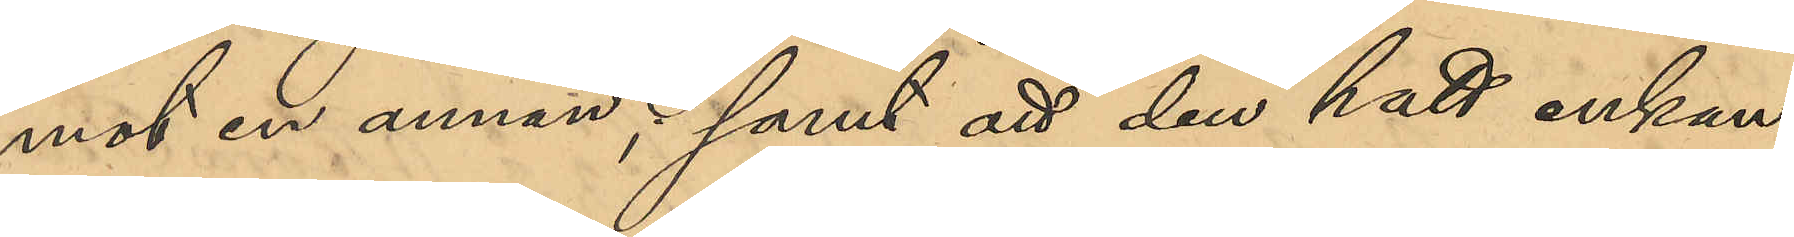mot en annan; samt att den hatt enkan
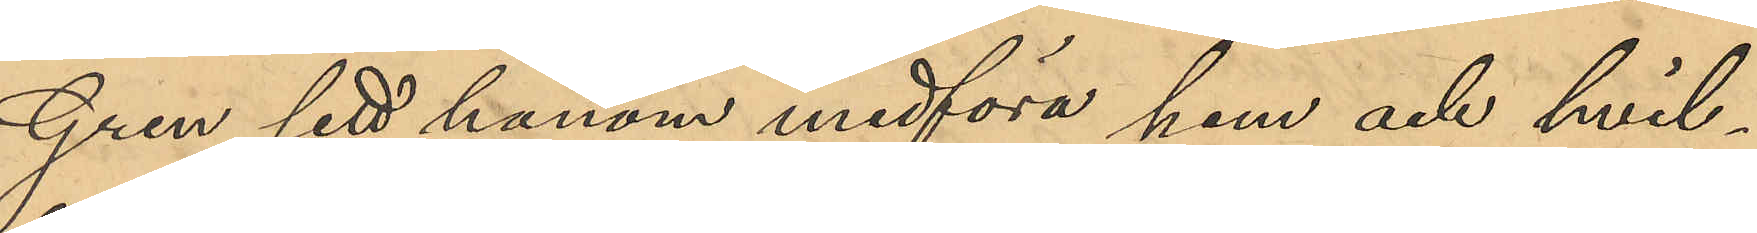Gren sett honom medföra hem och hvil¬
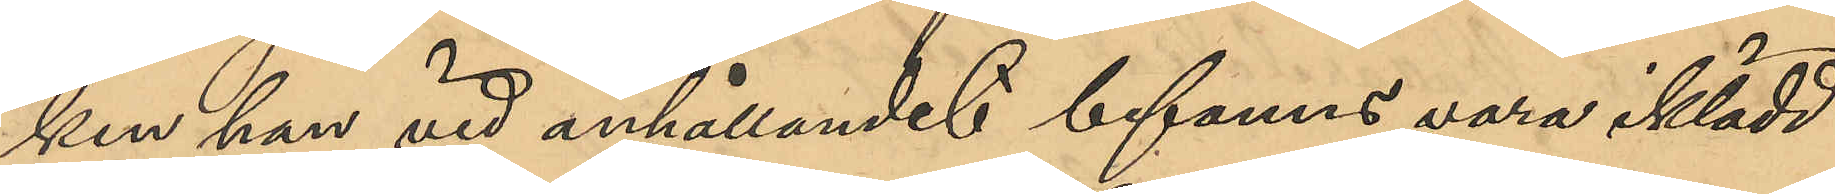ken han vid anhållandet befanns vara iklädd
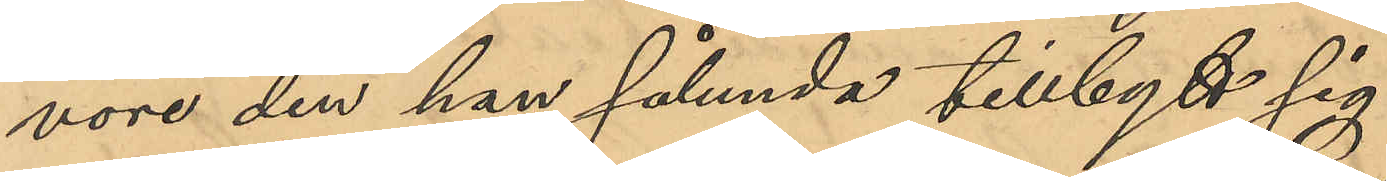vore den han sålunda tillbytt sig.
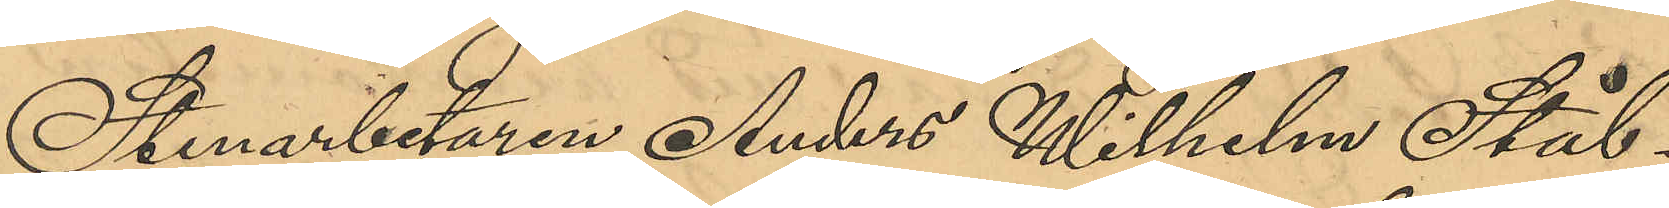Stenarbetaren Anders Wilhelm Stål¬
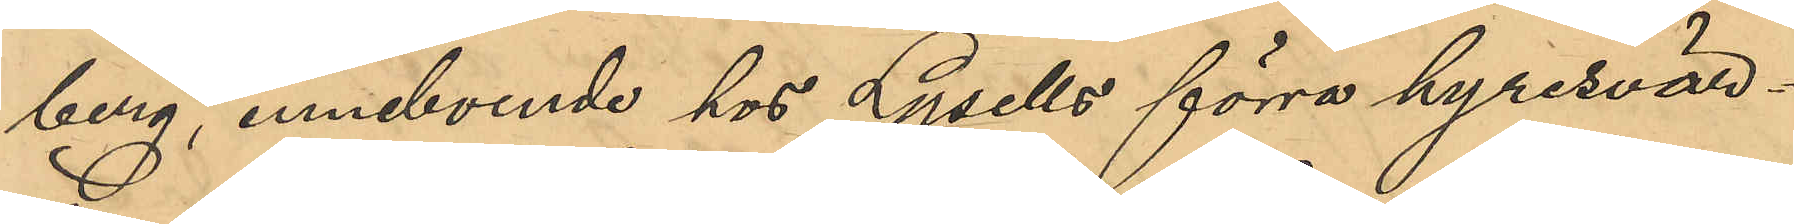berg, inneboende hos Lysells förra hyresvär¬
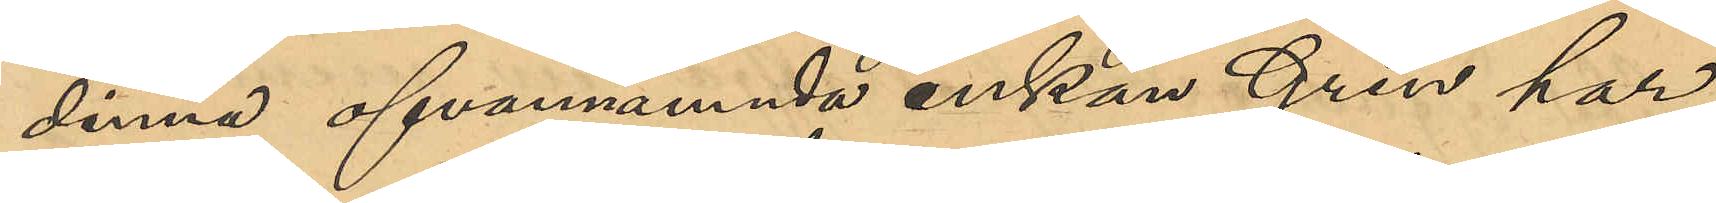dinna ofvannämnda enkan Gren har
